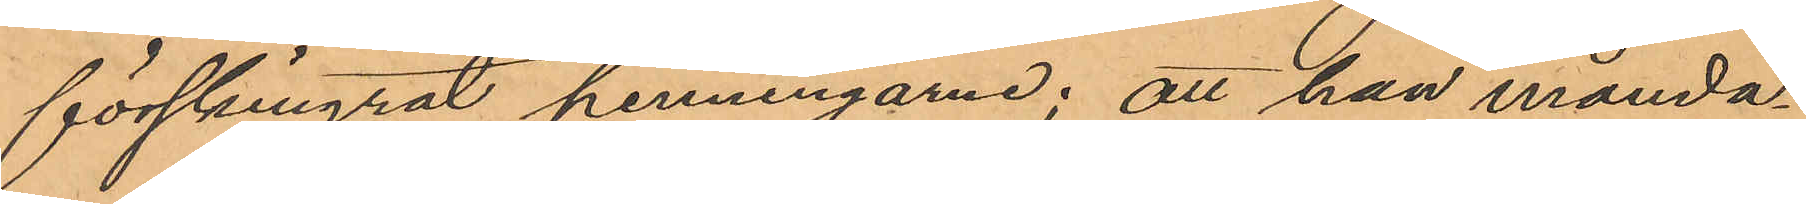förskingrat penningarne; att han månda¬
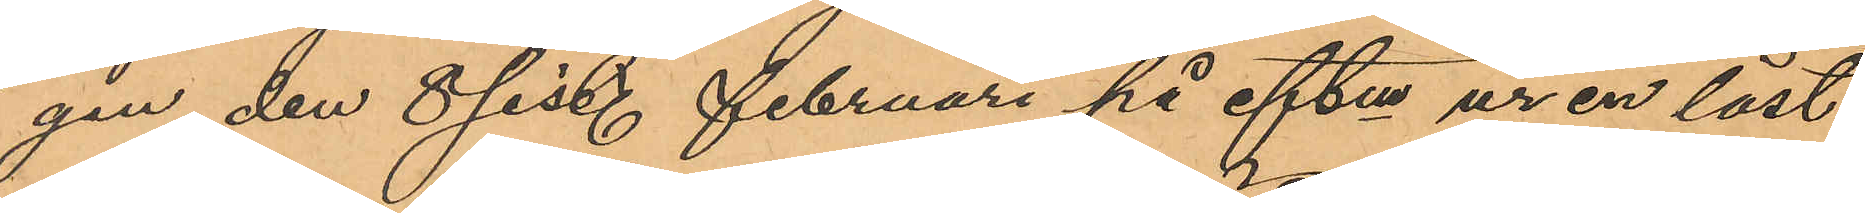gen den 8 sist. Februari på eftm ur en låst
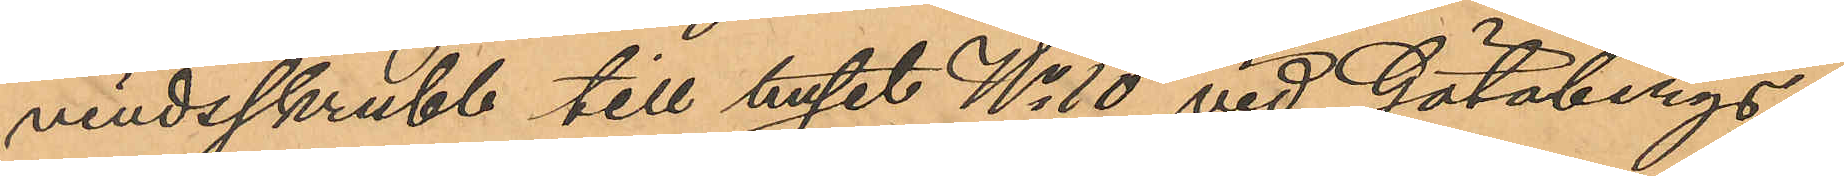vindsskrubb till huset No 10 vid Götabergs¬
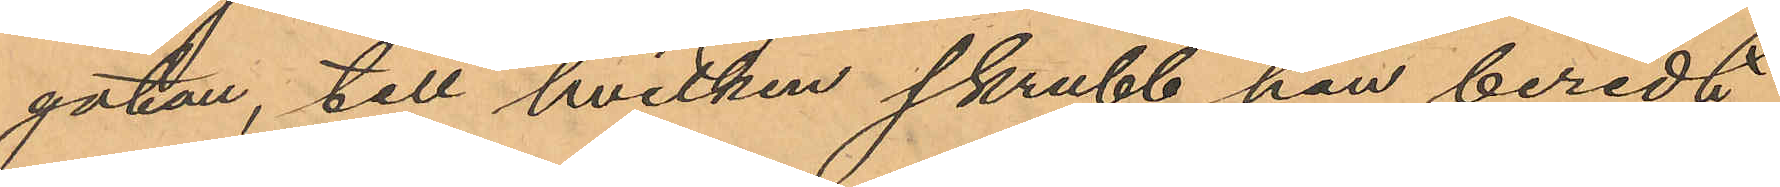gatan, till hvilken skrubb han beredt
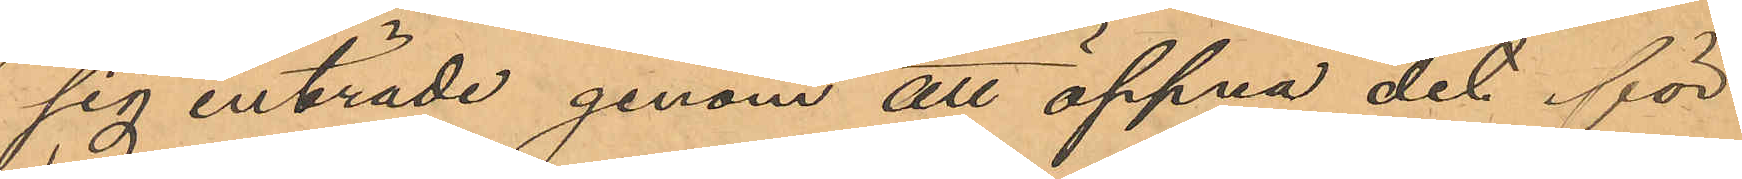sig inträde genom att öppna det för
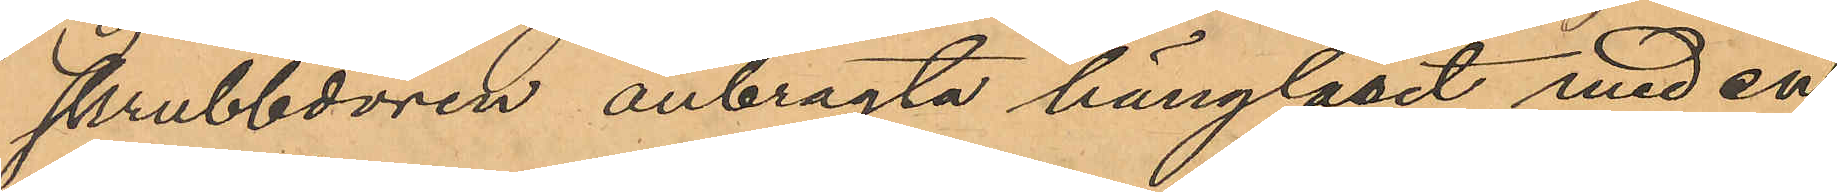skrubbdörren anbragta hänglåset med en
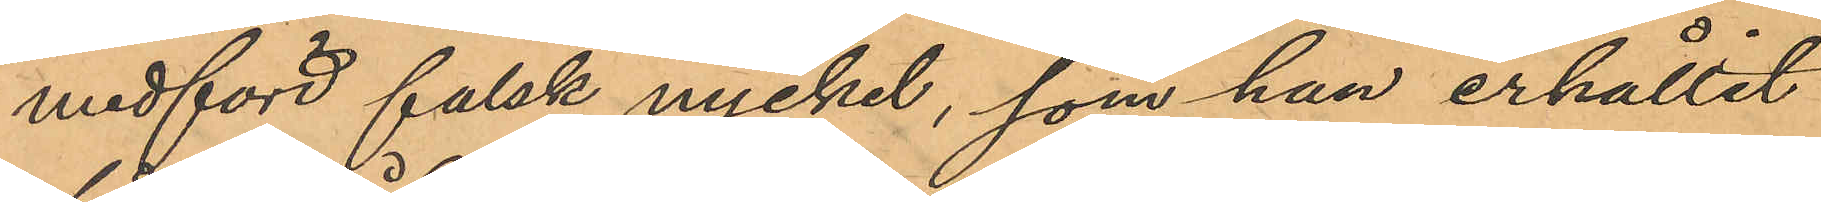medförd falsk nyckel, som han erhållit
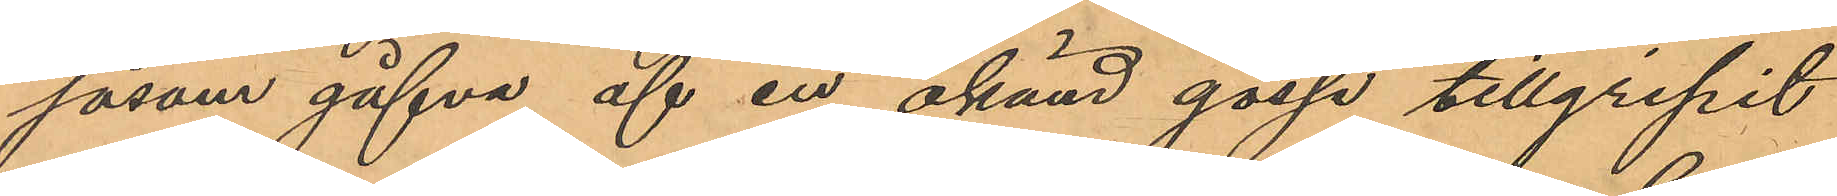såsom gåfva af en okänd gosse tillgripit
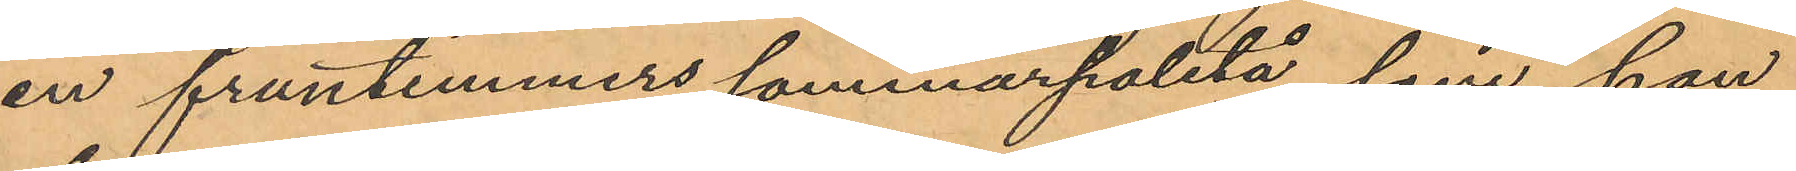en fruntimmers sommarpaletå, som han
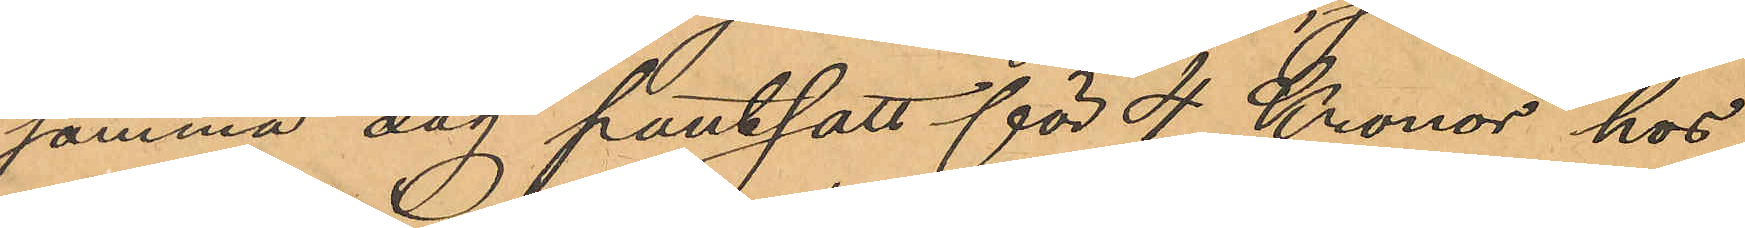samma dag pantsatt för 4 Kronor hos
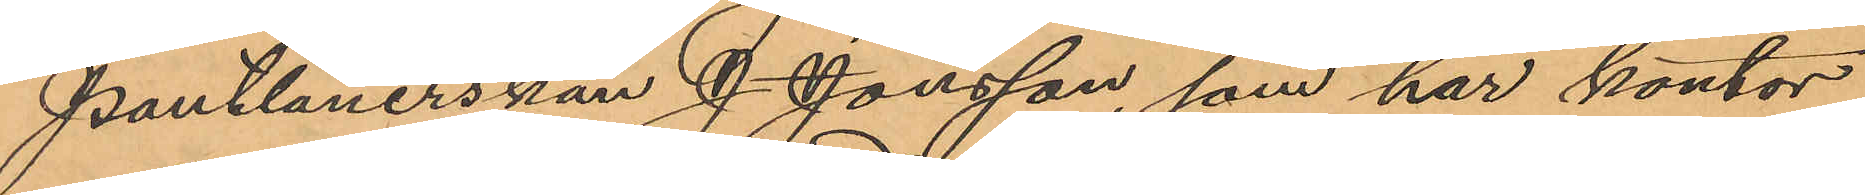Pantlånerskan J. Jonsson, som har kontor
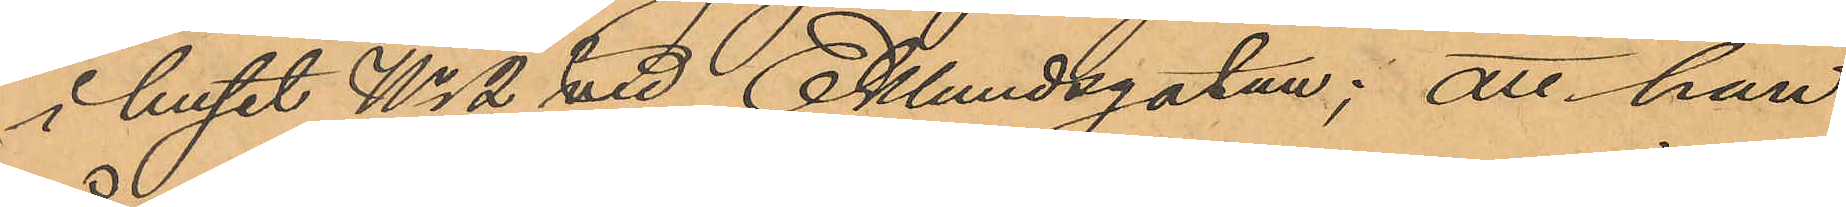i huset No 2 vid Eklundsgatan; att han
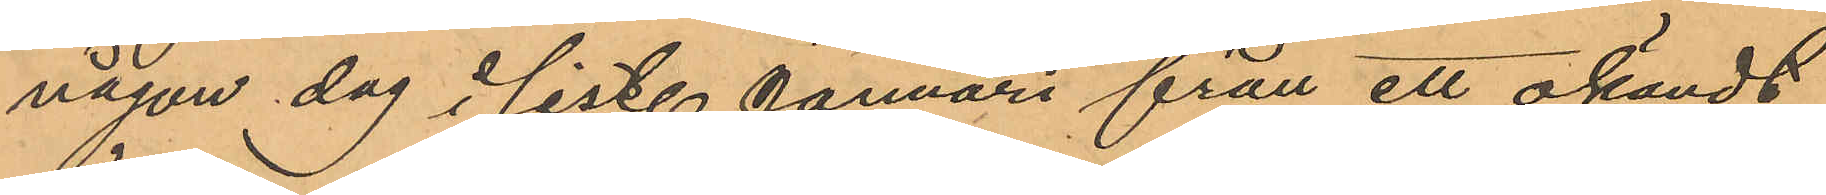någon dag i sist. Januari från ett okändt
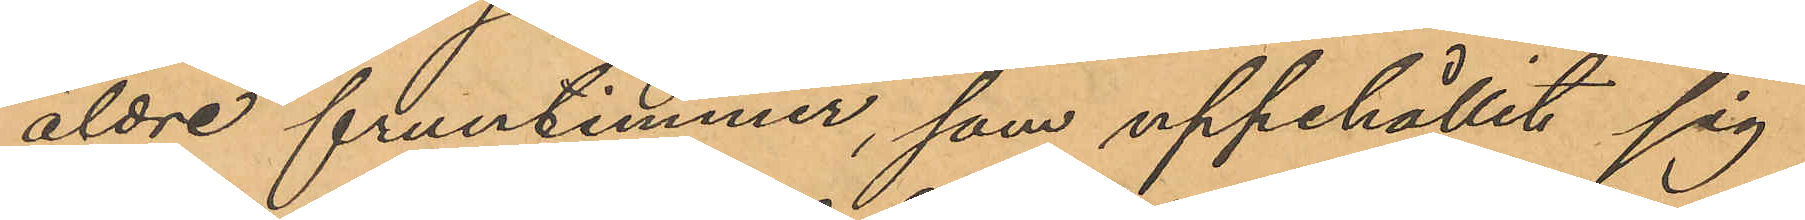åldre fruntimmer, som uppehållit sig
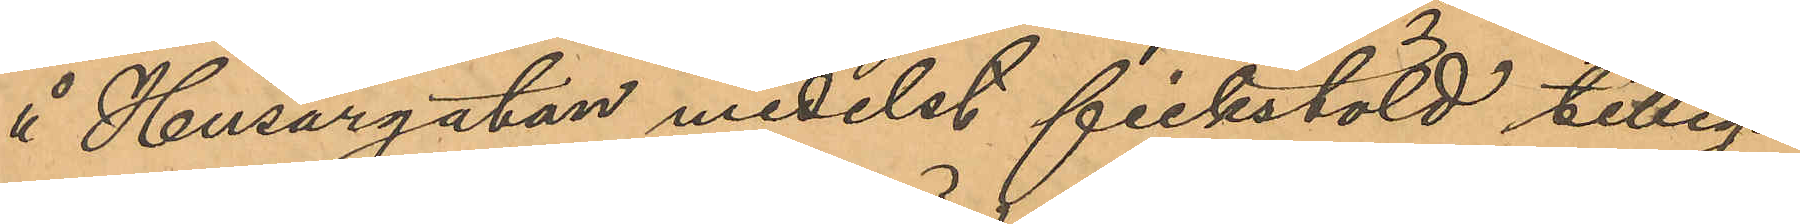å Husargatan medelst fickstöld tilleg¬
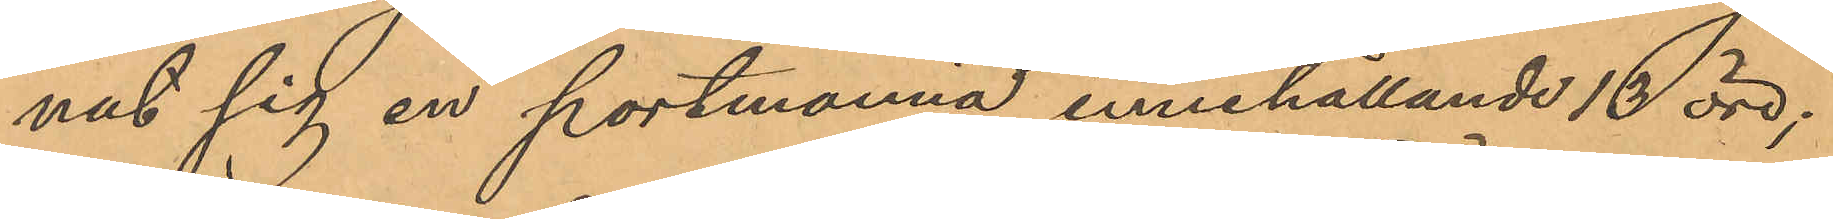nat sig en portmonnä, innehållande 13 öre;
